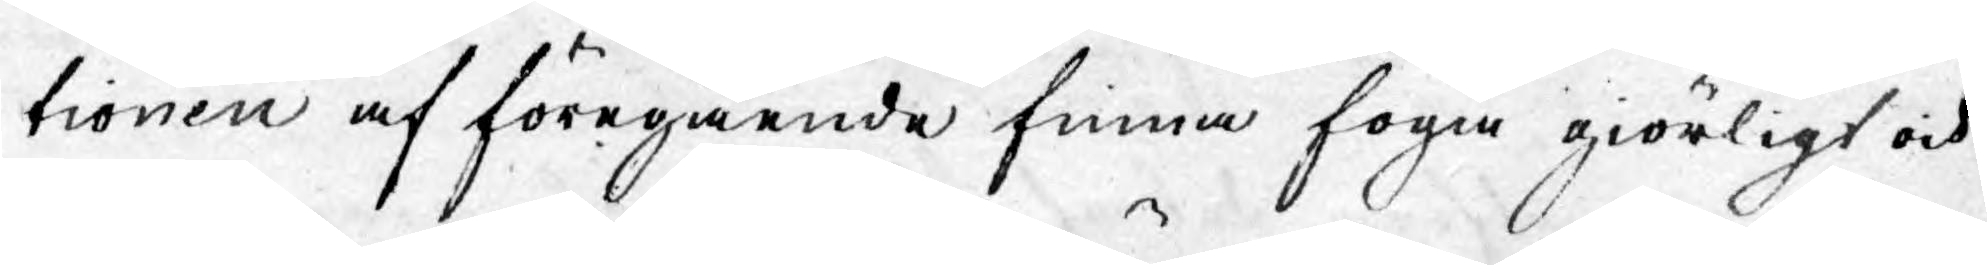tionen af föregående finna föga giörligt och
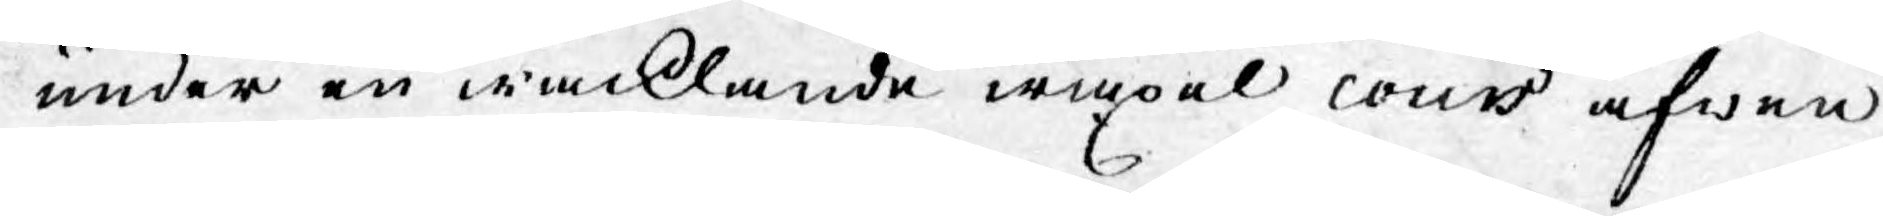under en wacklande wäxel cours äfwen
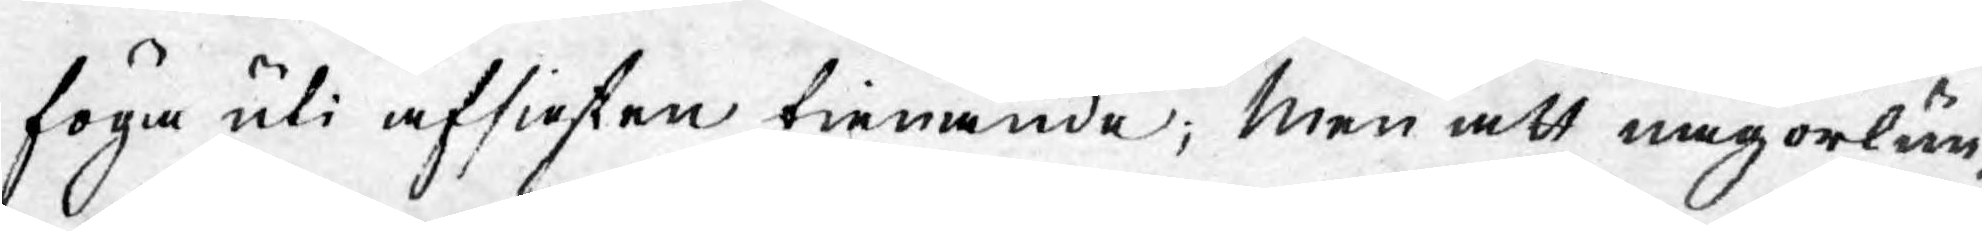föga uti afsigsten tienande; Men att någorlun¬
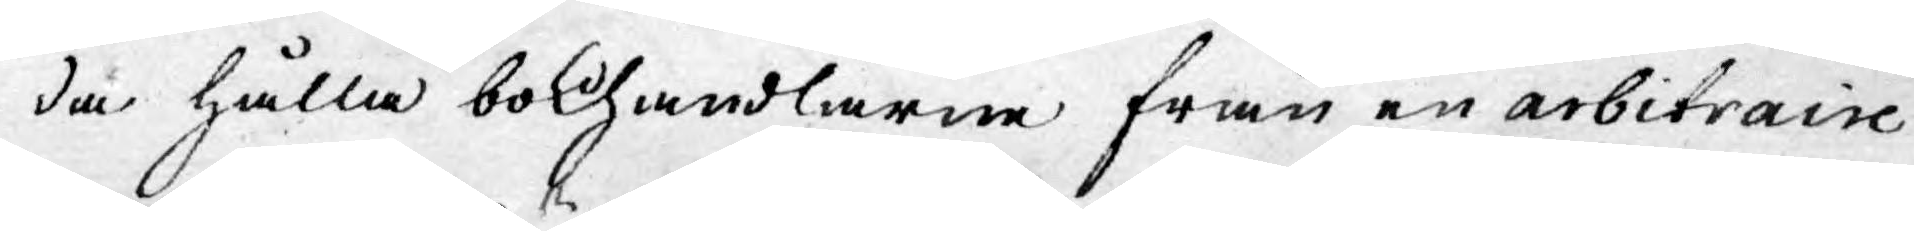da hålla bokhandlarne från en arbitraire
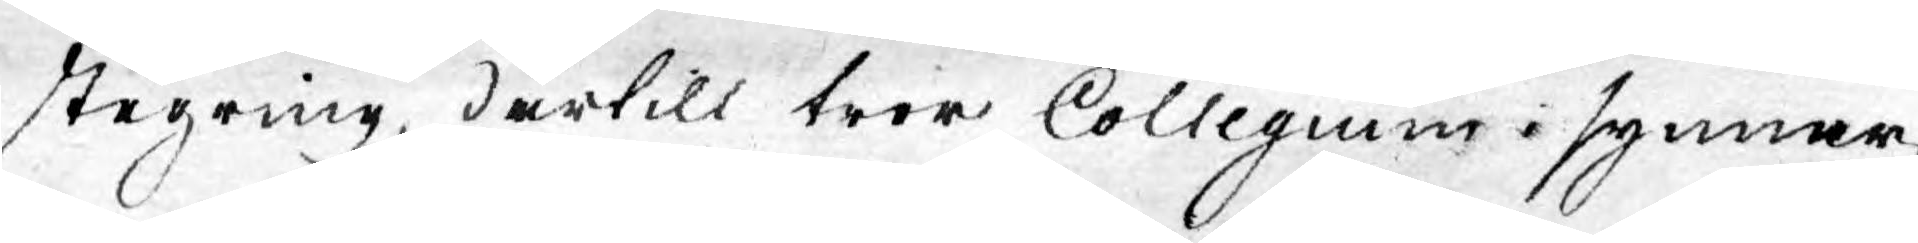stegring, därtill tror Collegium i synner¬
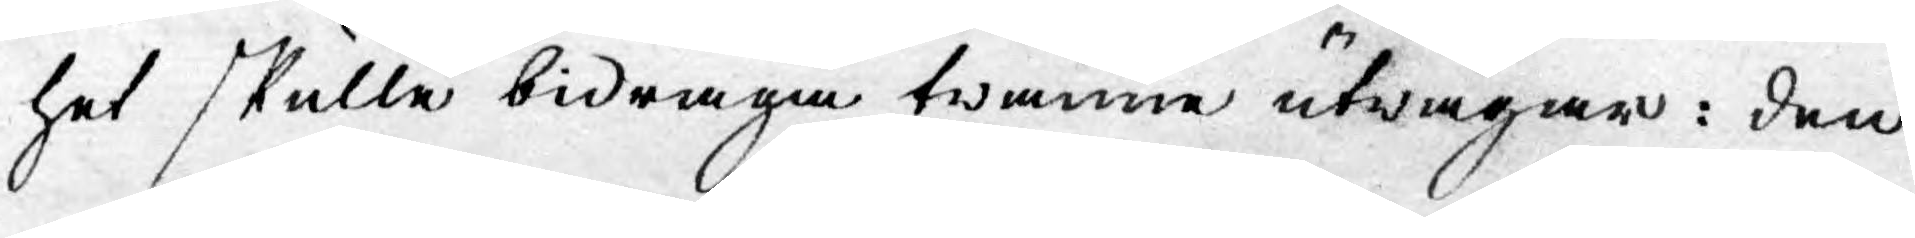het skulle bidraga twänne utwägar: den
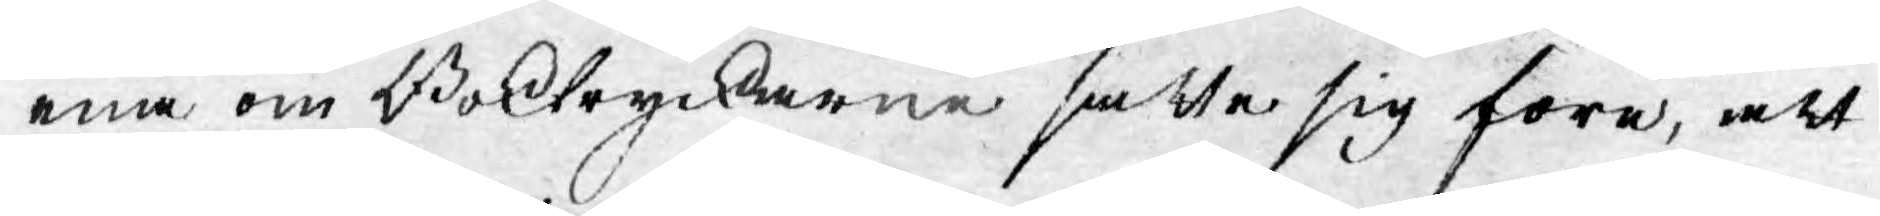ena om Boktryckarne satte sig före, att
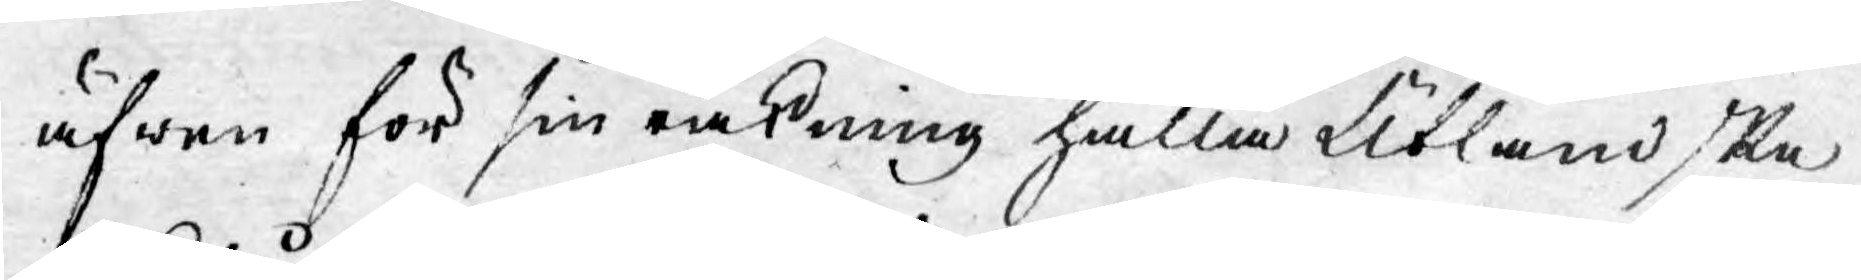äfwen för sin räkning hålla Utländska
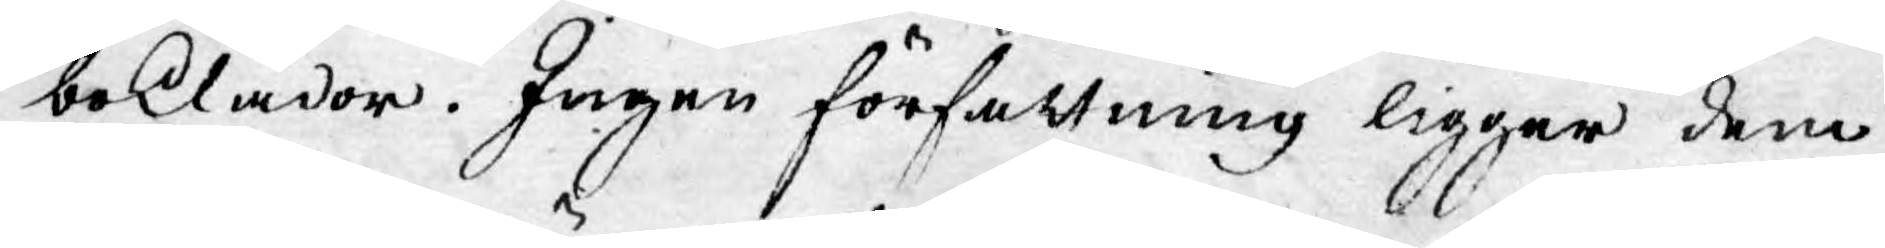boklådor. Ingen författning ligger dem
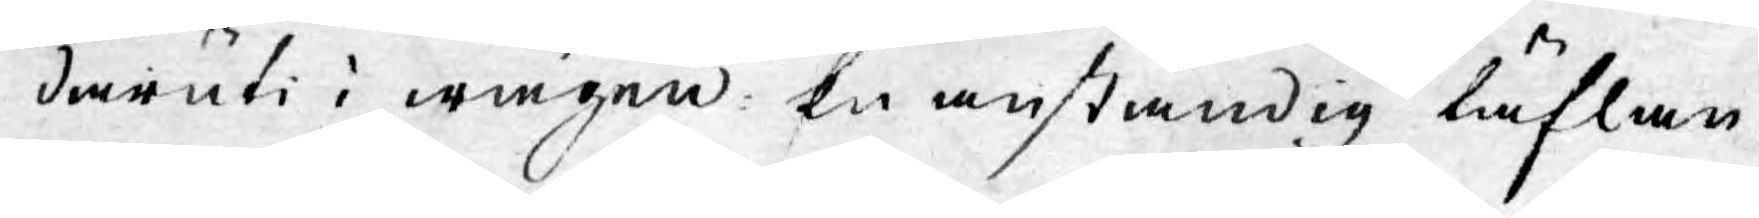däruti i wägen: En anständig täflan
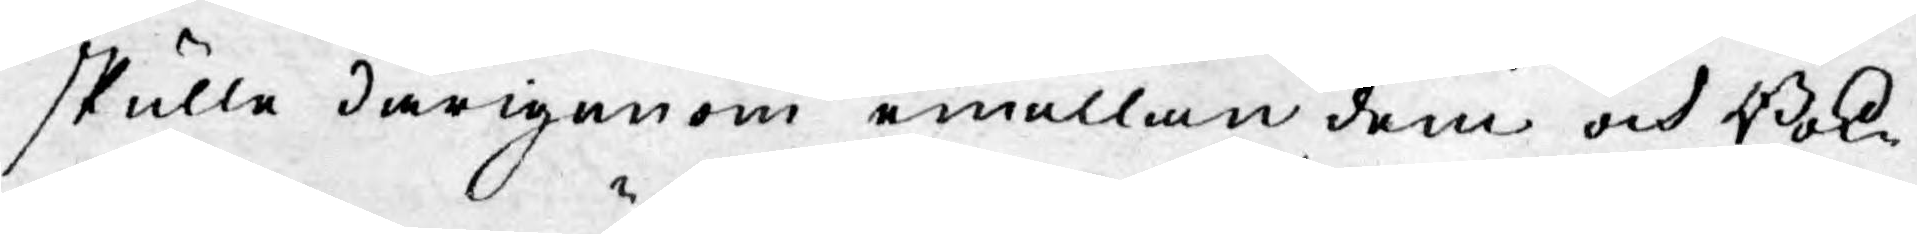skulle därigenom emellan dem och Bok¬
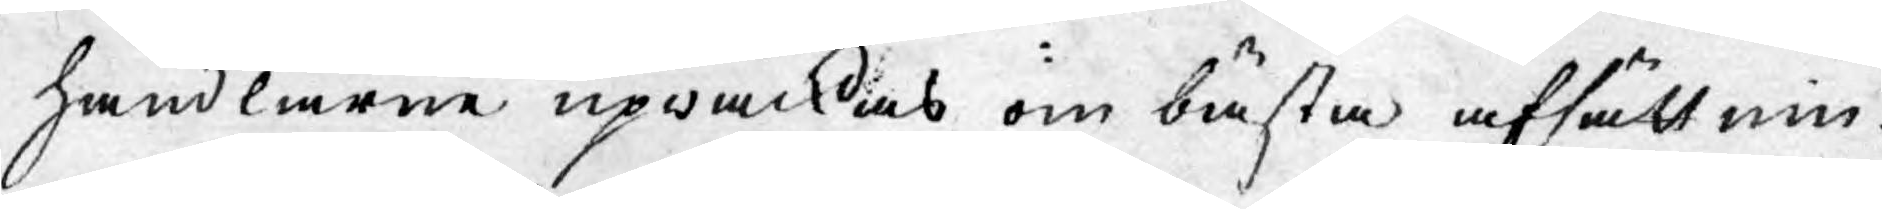handlarne upwäckas om bästa afsättnin¬
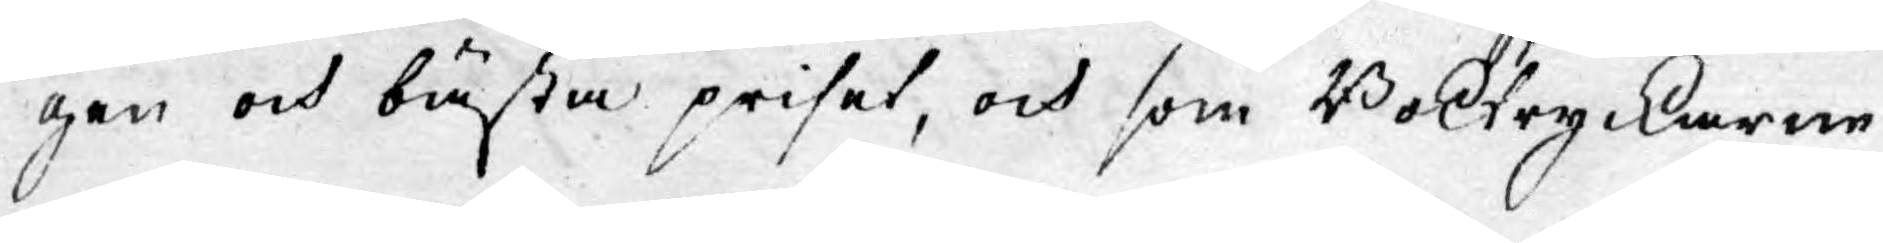gen och bästa priset, och som Boktryckarne
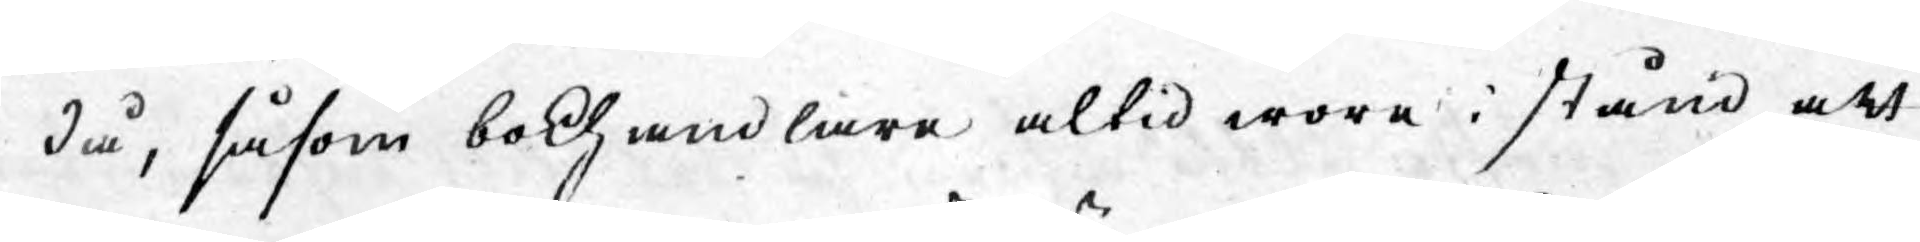då, såsom bokhandlare altid wore i stånd att
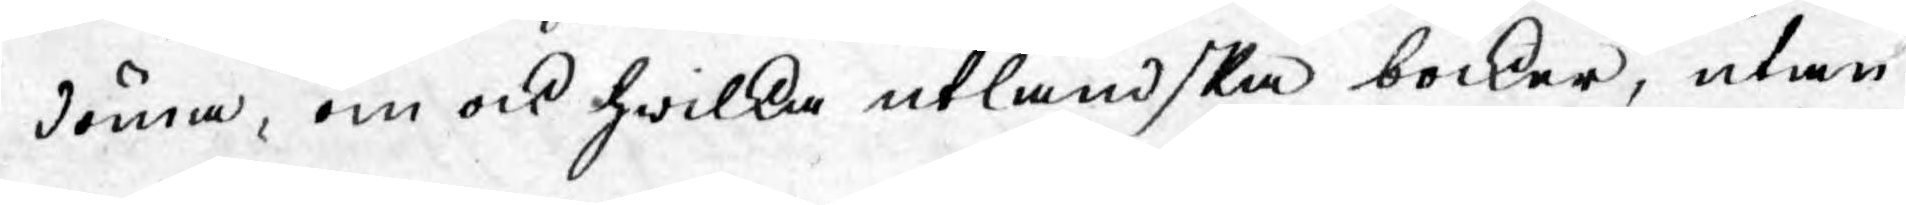döma, om ock hwilka utländska böcker, utan
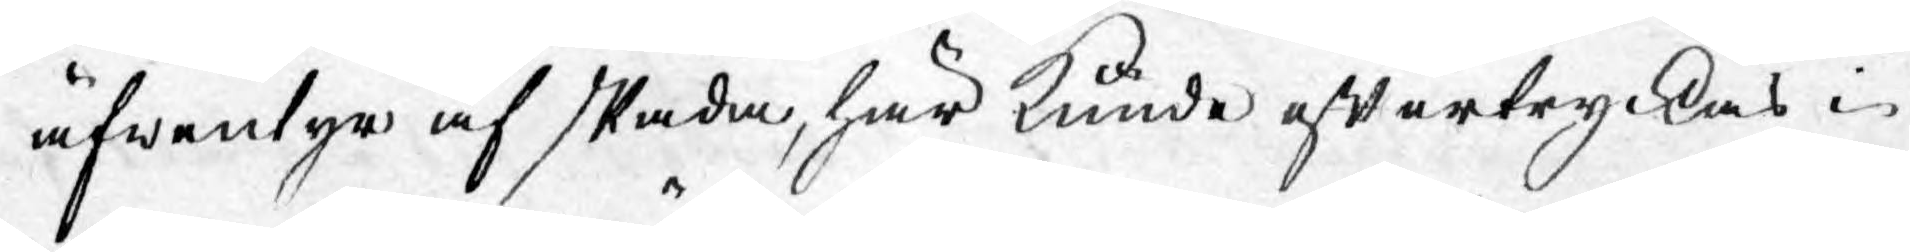äfwentyr af skada, här kunde eftertryckas i
